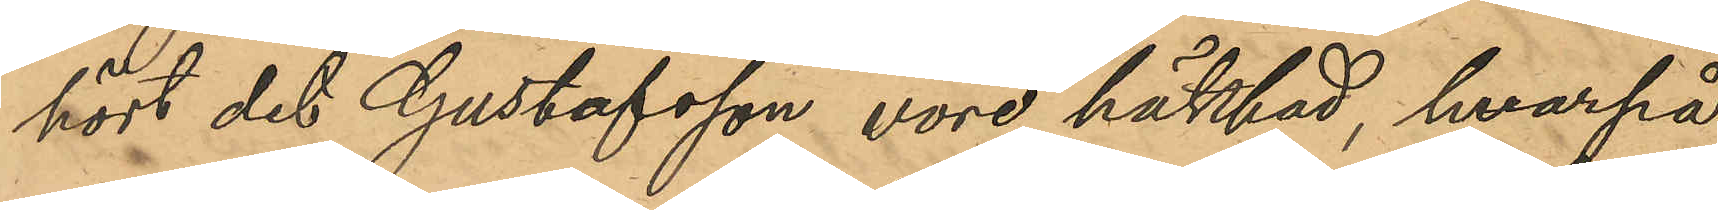hört det Gustafsson vore häktad, hvarpå
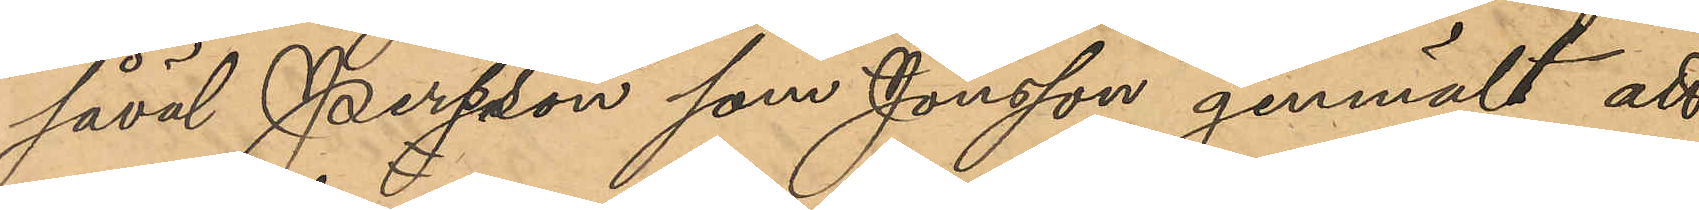såväl Persson som Jonsson genmält att
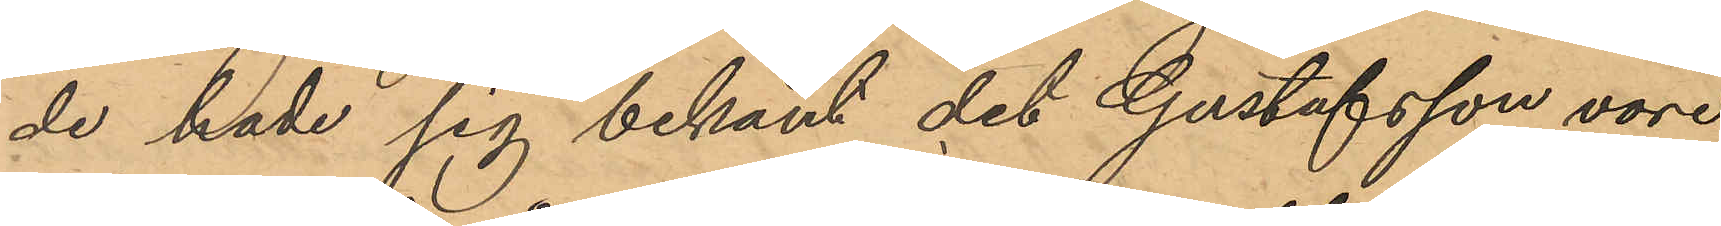de hade sig bekant det Gustafsson vore
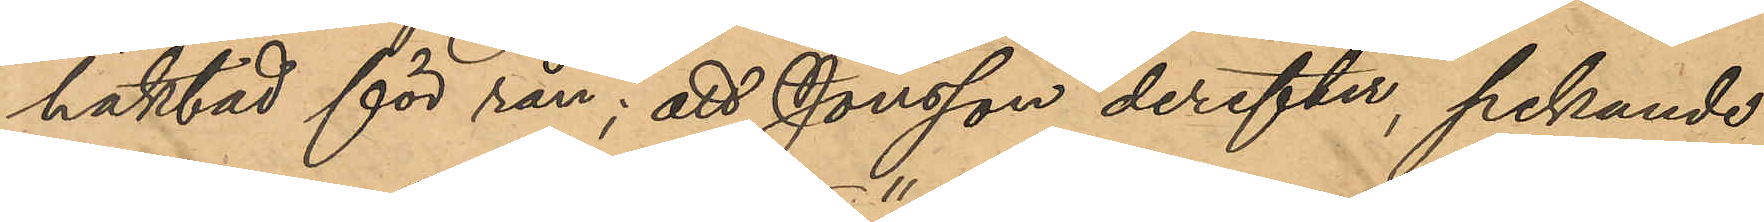häktad för rån; att Jonsson derefter, pekande
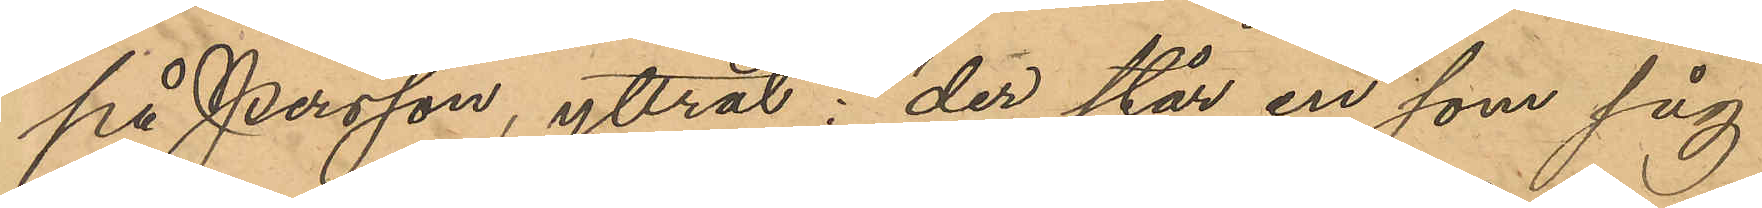på Persson, yttrat: "der står en som såg
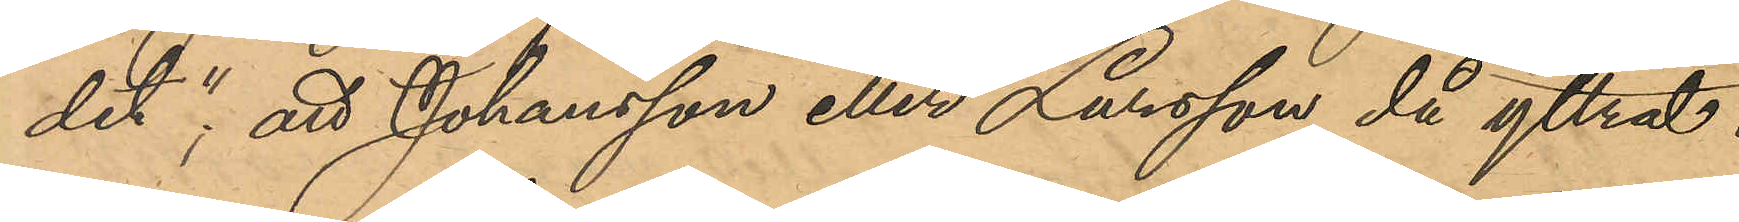det", att Johansson eller Larsson då yttrat:
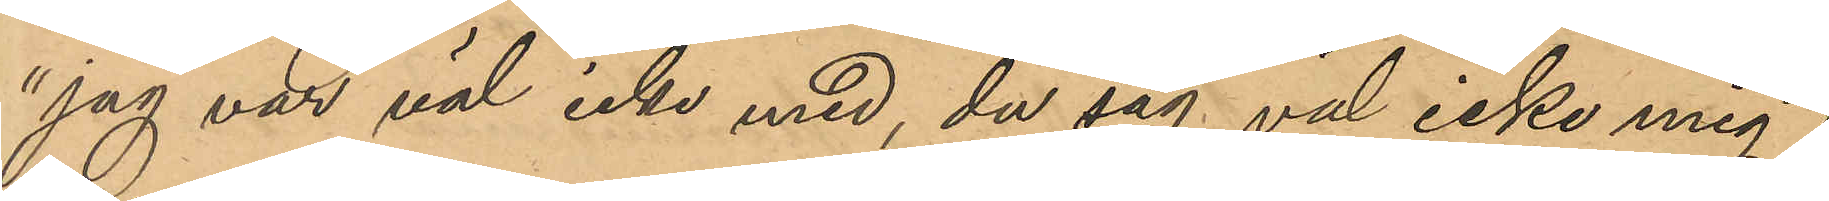"jag var väl inte med, du såg väl icke mig"?;
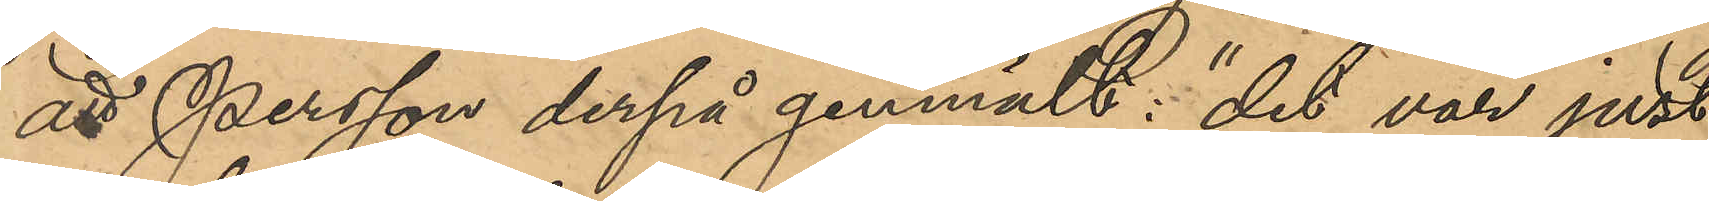att Person derpå genmält: "det var just
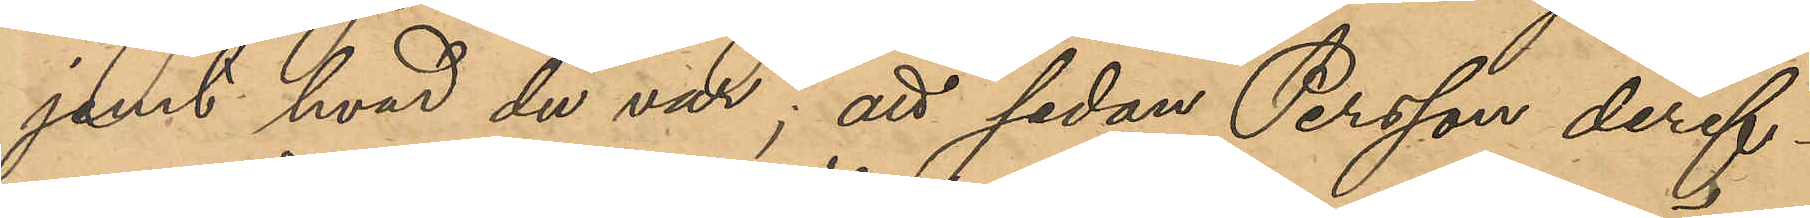jemt hvad du var"; att sedan Persson deref¬
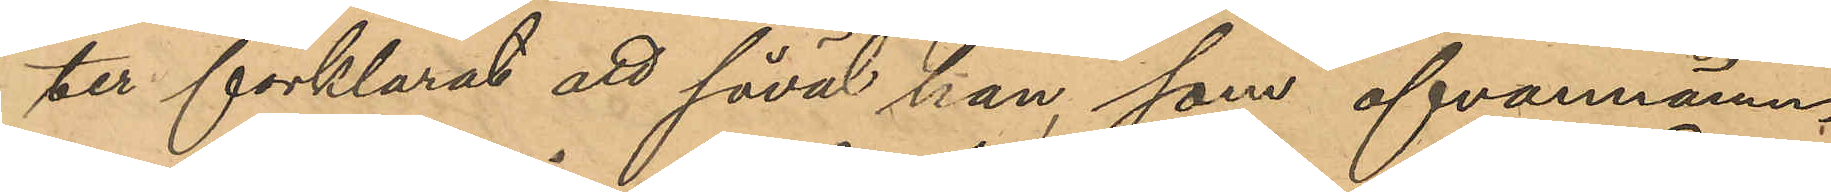ter förklarat att såväl han, som ofvannämn¬
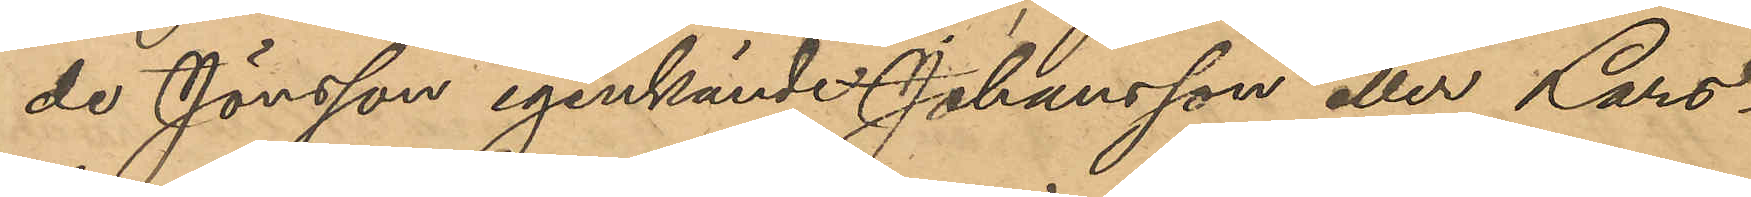de Jönsson igenkände Johansson eller Lars¬
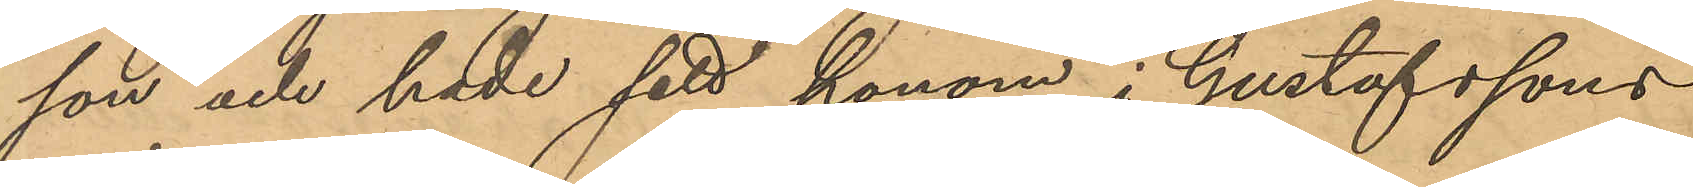son och hade sett honom i Gustafssons
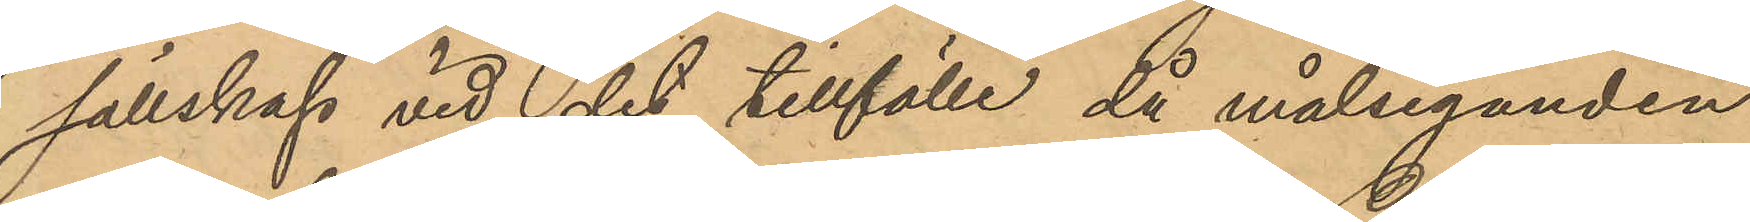sällskap vid det tillfälle då målseganden
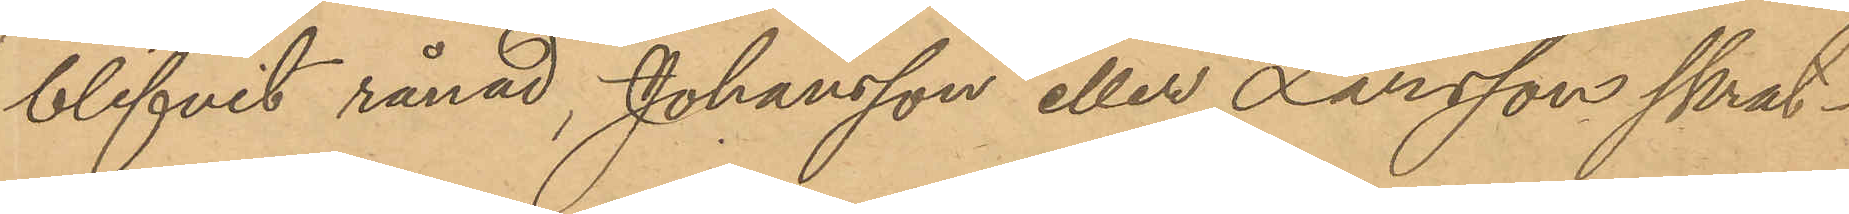blifvit rånad, Johansson eller Larsson skrat¬
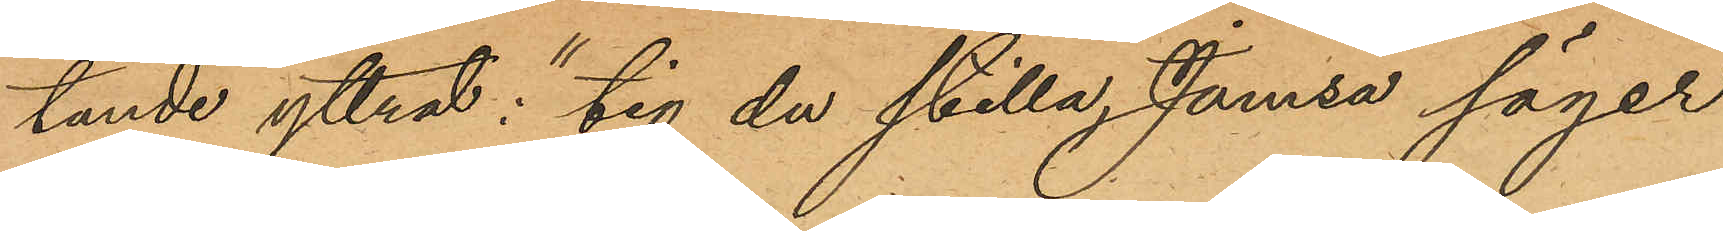tande yttrat: "tig du stilla, Jamsa säger
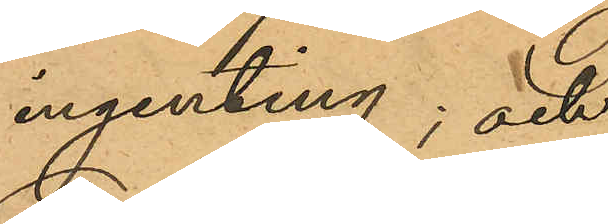ingenting; och
